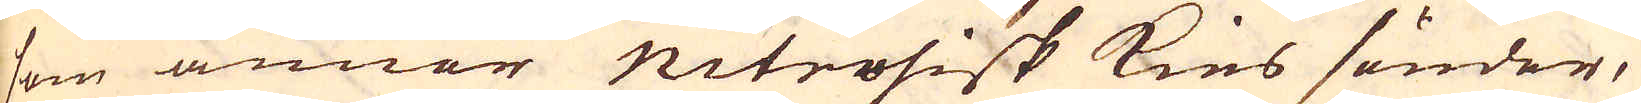som annor nitrosisk kies sönder,
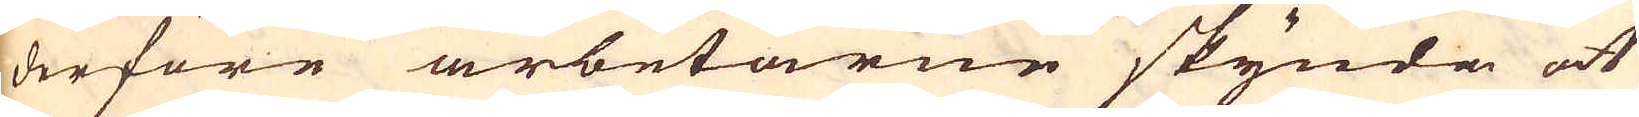derföre arbetarne skynda at
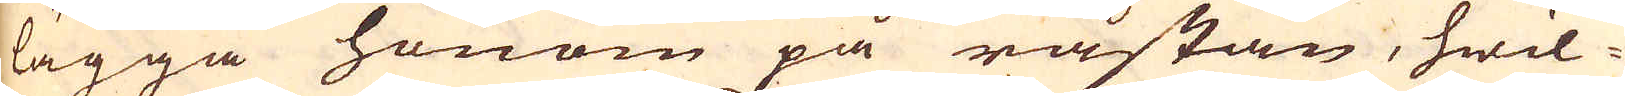lägga honom på råstan, hwil-
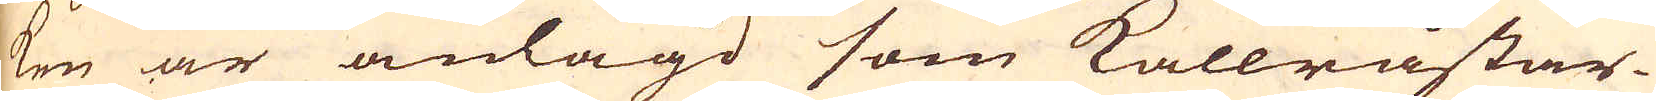ken är anlagd som kallråstar-
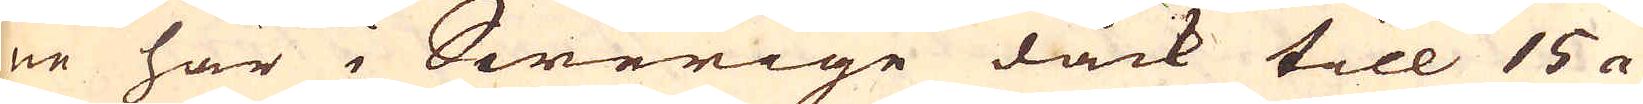ne här i Swerige dock till 15 a
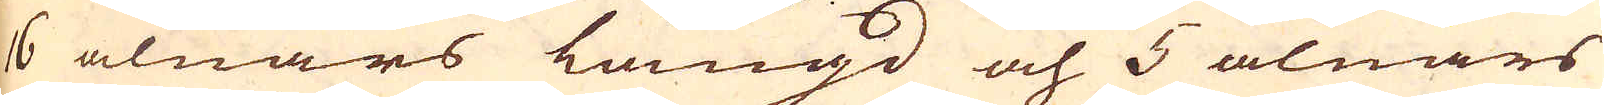16 alnars längd och 5 alnars
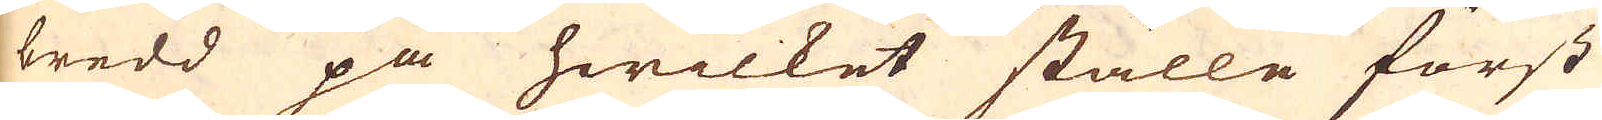bredd på hwilket ställe först
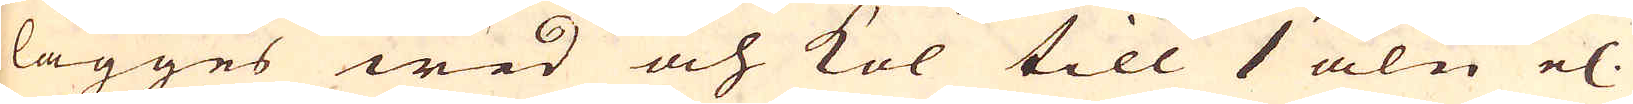lägges wed och kol till 1 aln el.
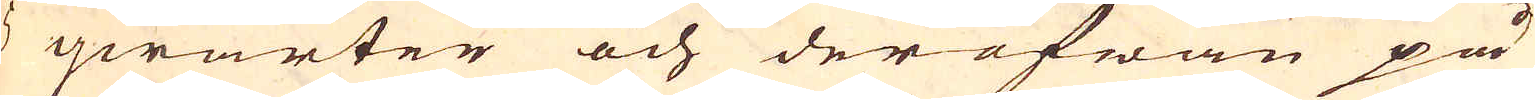5 qwarter och der ofwan på
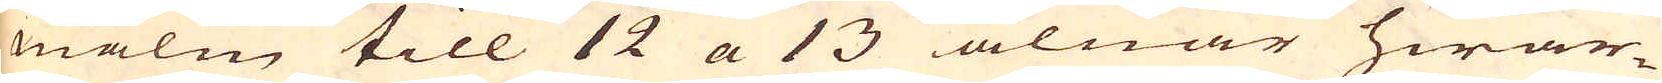malm till 12 a 13 alnar hwar-
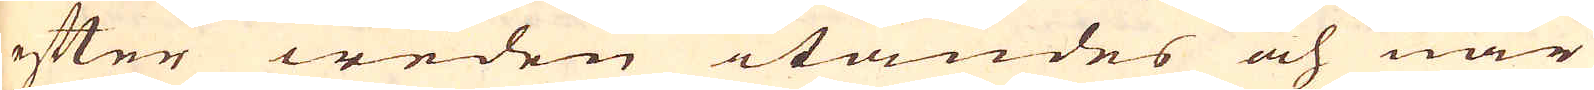efter weden itändes och när
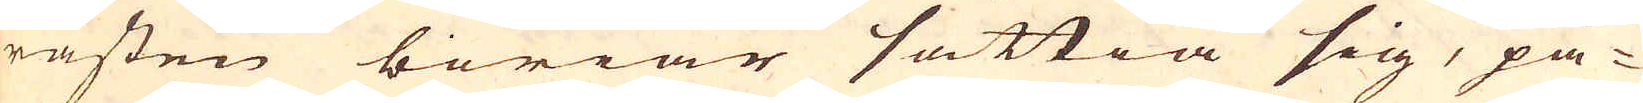råsten böriar sättia sig, på-
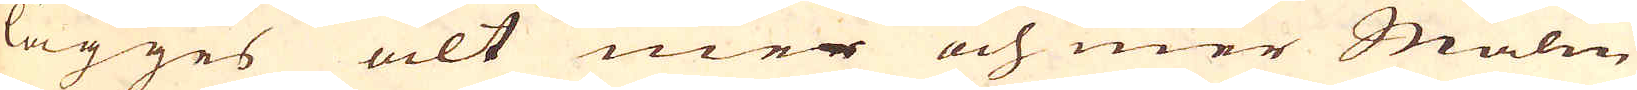lägges alt mer och mer Malm
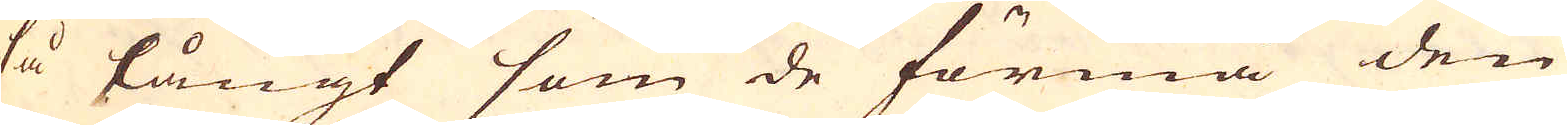så långt som de förmå den
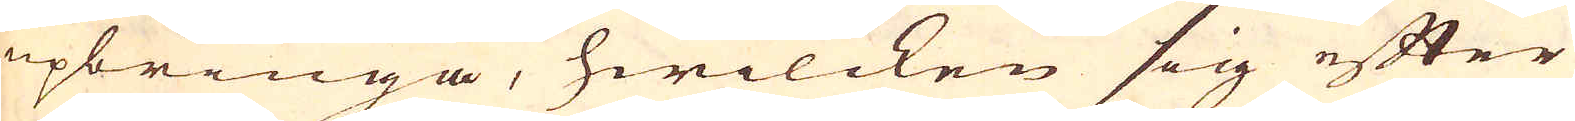upbringa, hwilcken sig efter
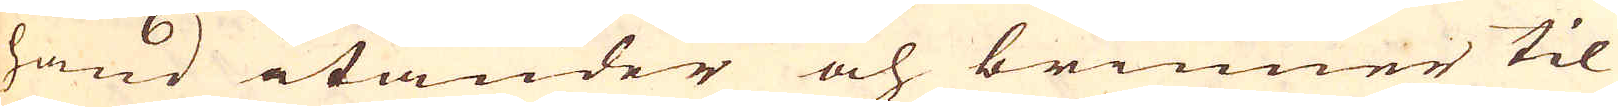hand itänder och brinner til
